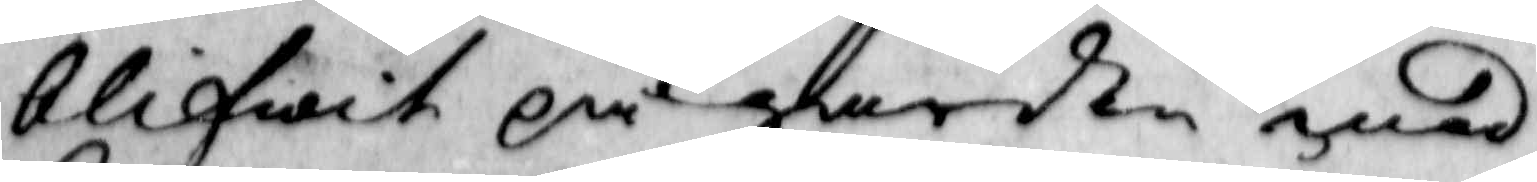blifwit på gården med 
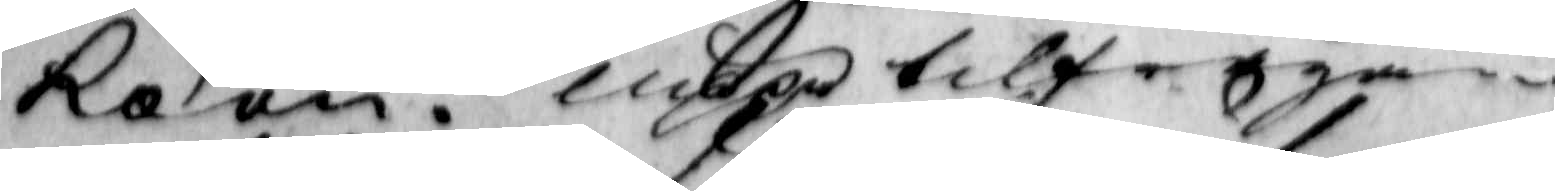koon. uppå tilfrågan
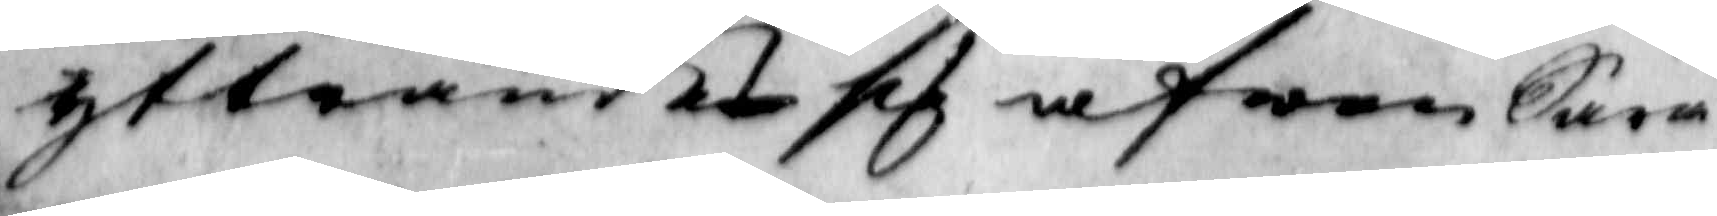yttrandet sig äfwen Sara
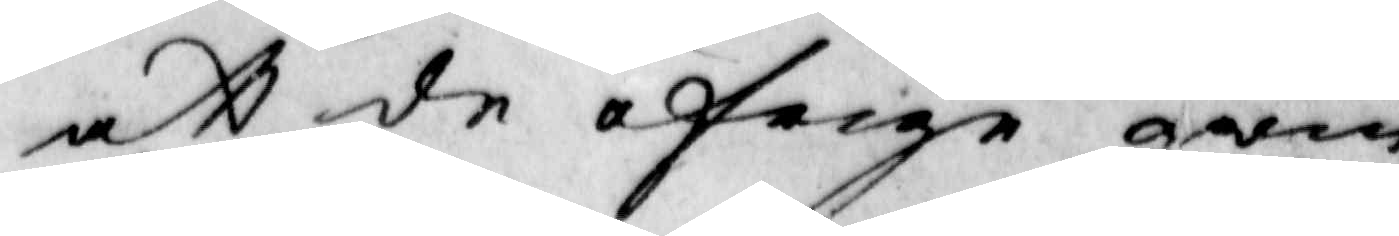att de öfrige qwin¬
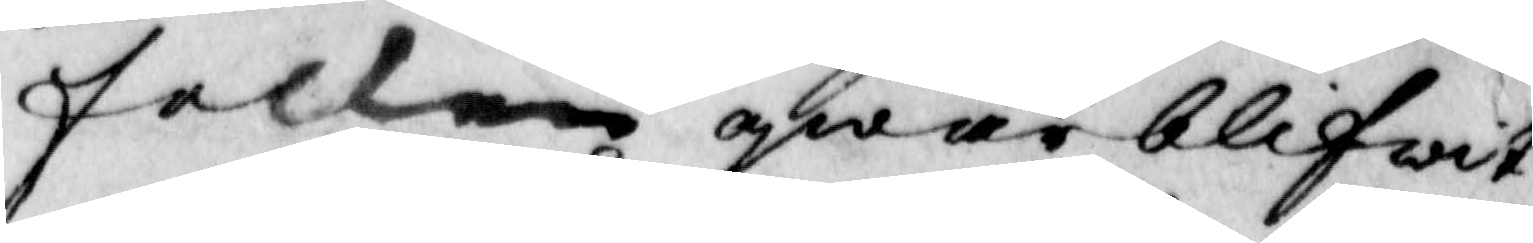folken qwarblifwit
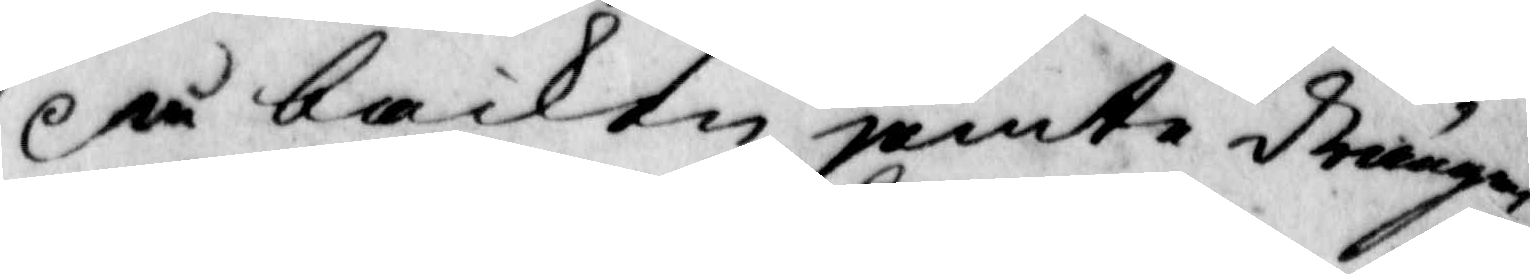på backen jemte drängen
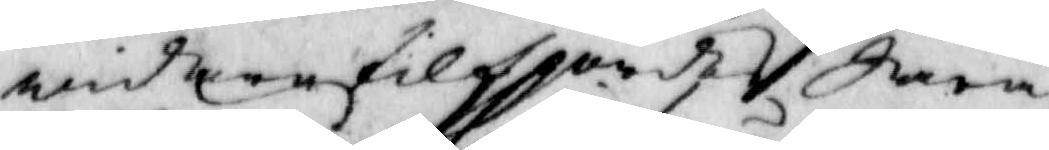widare tilspordes Sara
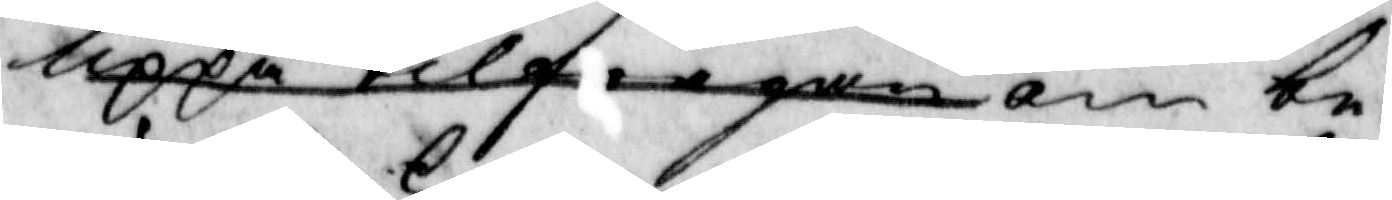uppå tilfrågan om be¬
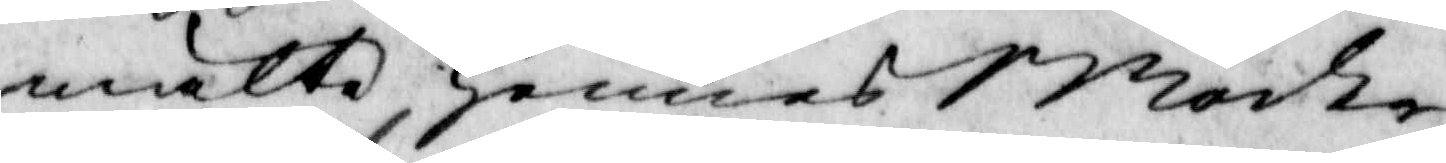mälte hennes Moder
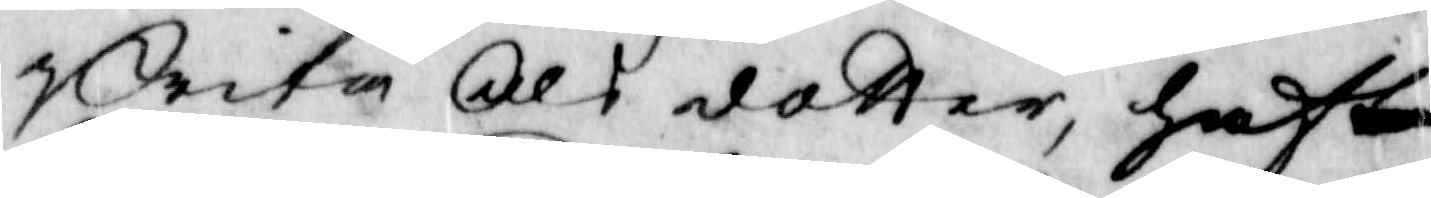Brita Ols dotter, haft
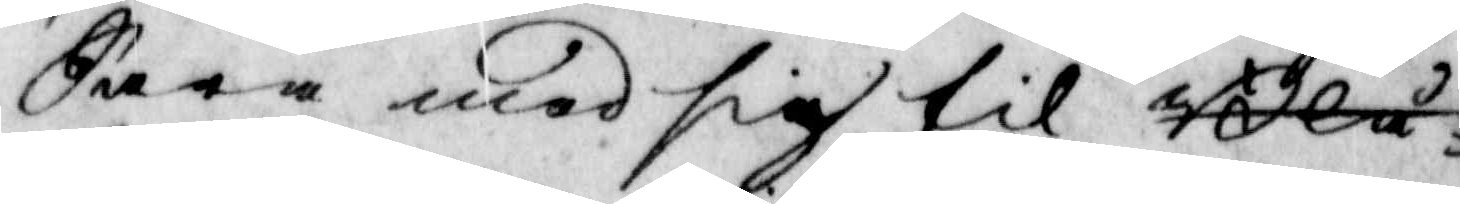Sara med sig til Blå¬
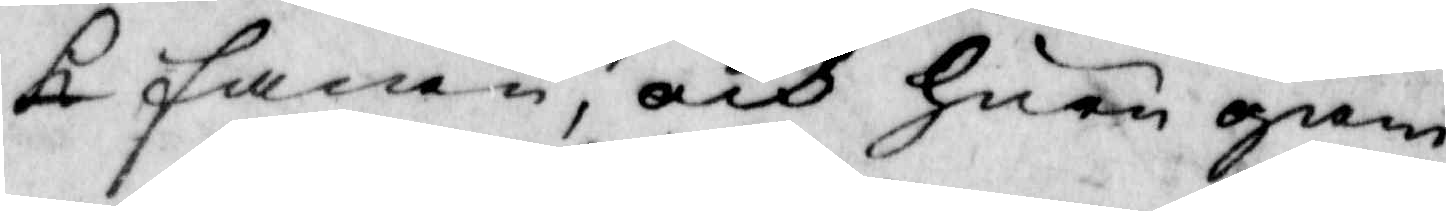k fanen, och huar gam¬
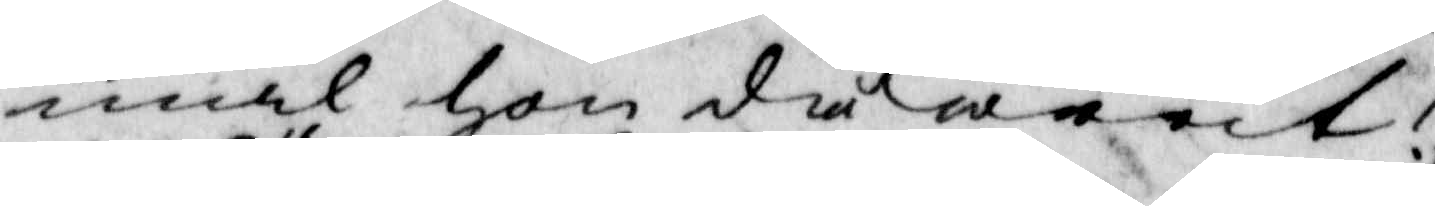mal hon då warit?
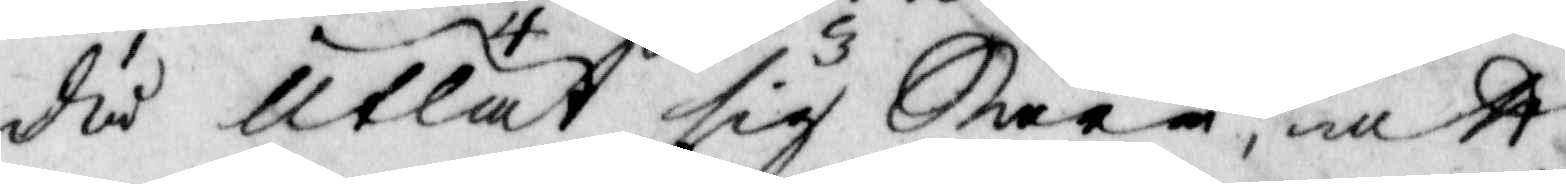då utlät sig Sara, attt
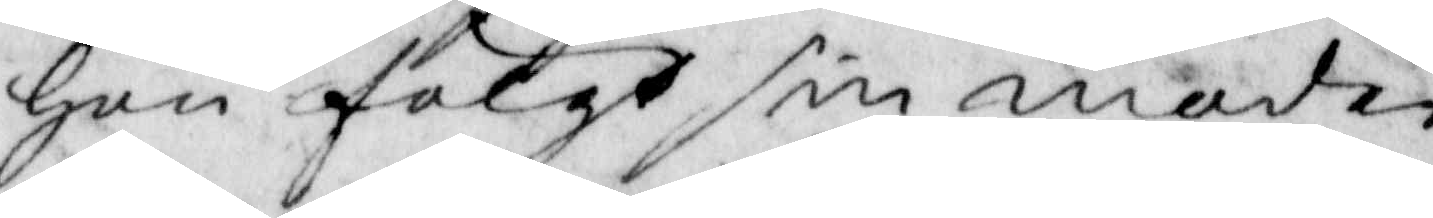hon fölgt sin moder
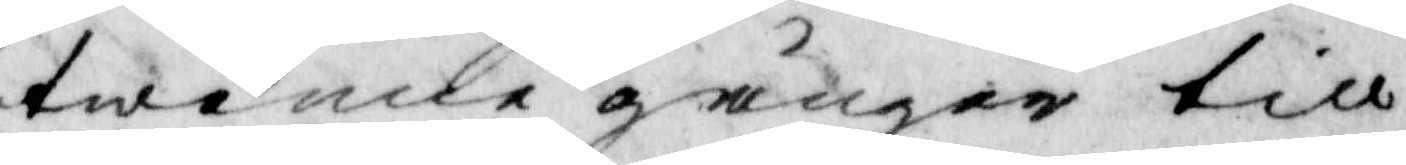twenne gånger till
